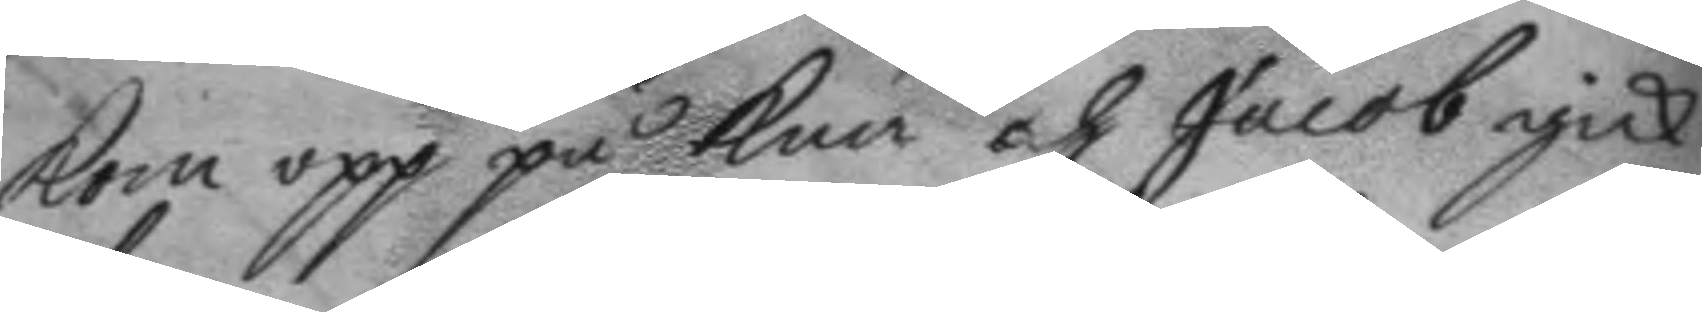kom opp på knä och Jacob gick
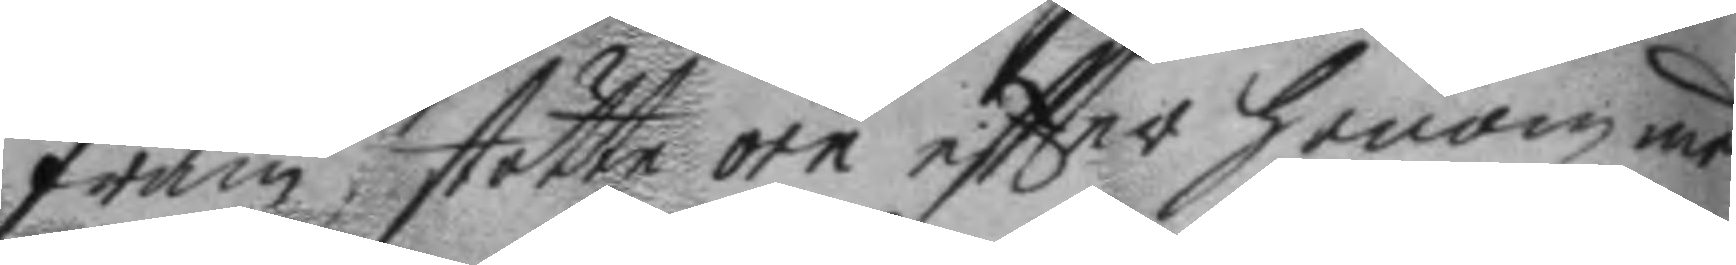fram, stötte örn eftter honom med
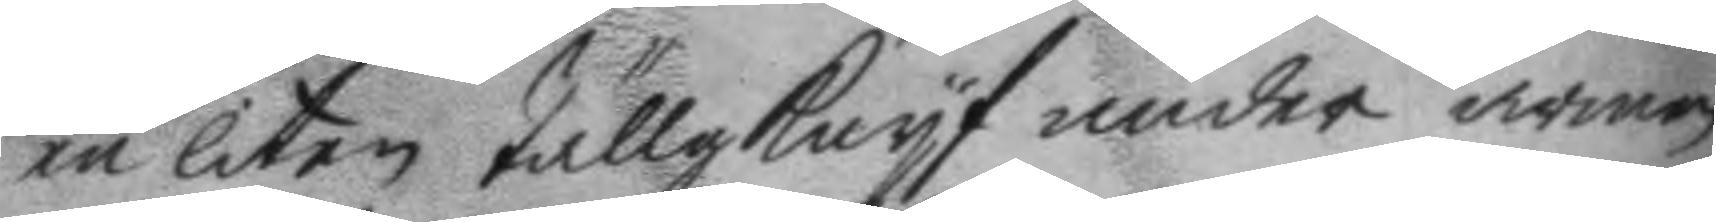en liten Tällgknyf under armen,
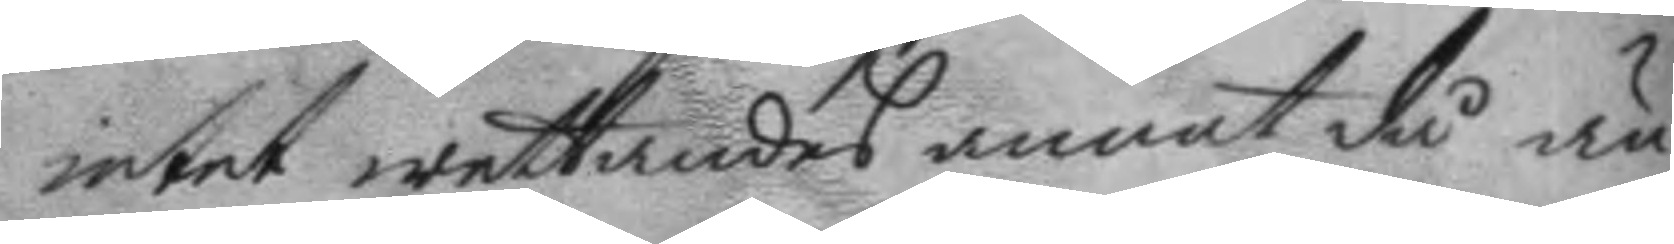intet wettandes annat då än
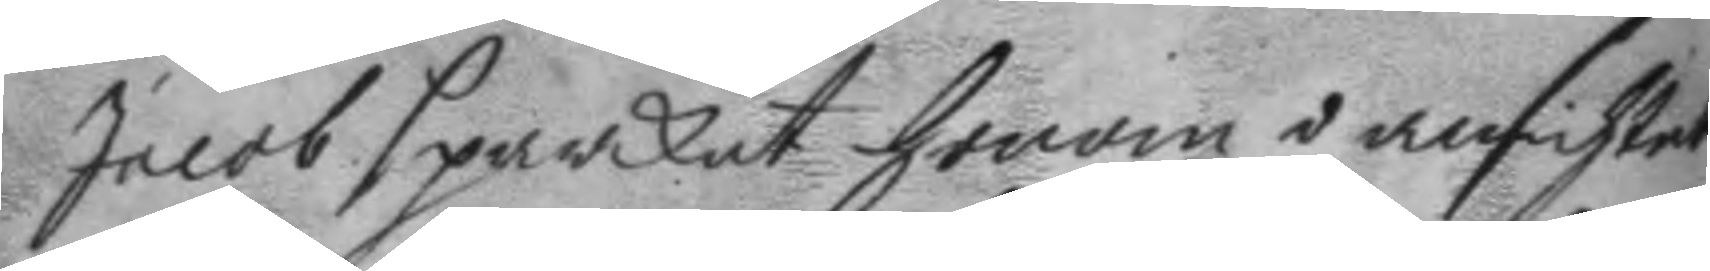jacob sparkat honom i ansichtet,
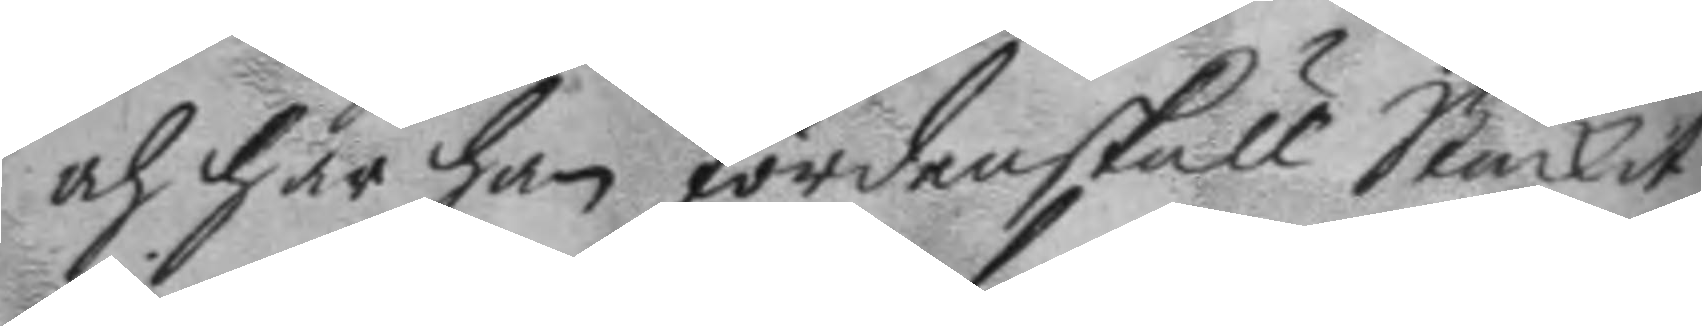och här han fördenskull Stuckit
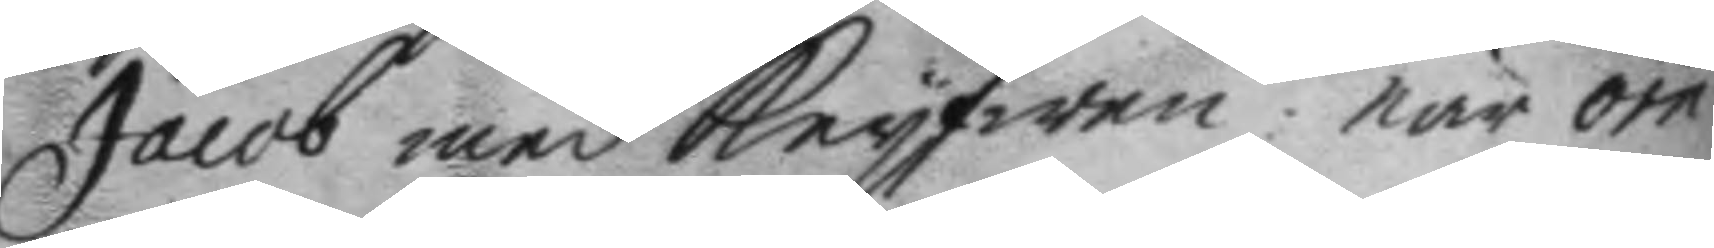Jacob med Knyfwen: när örn
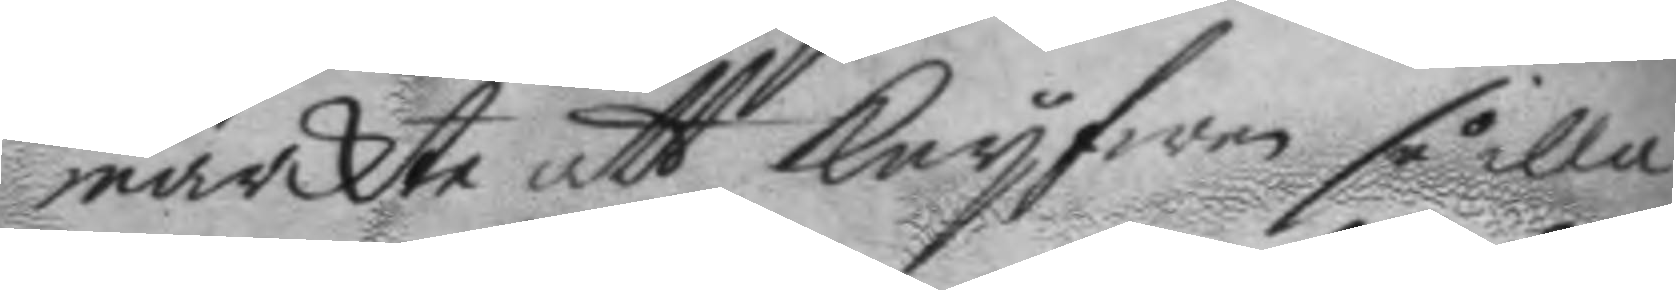märckte att knyfwen så illa
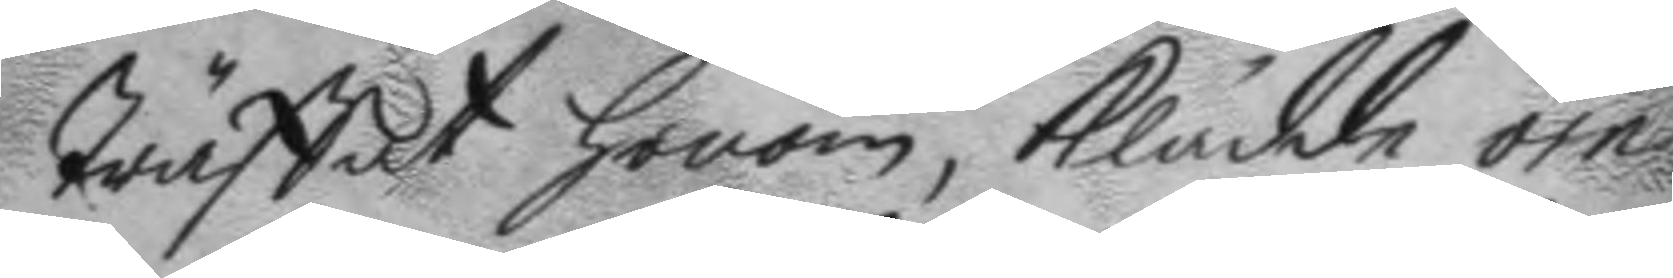Träffat honom, klädde örn
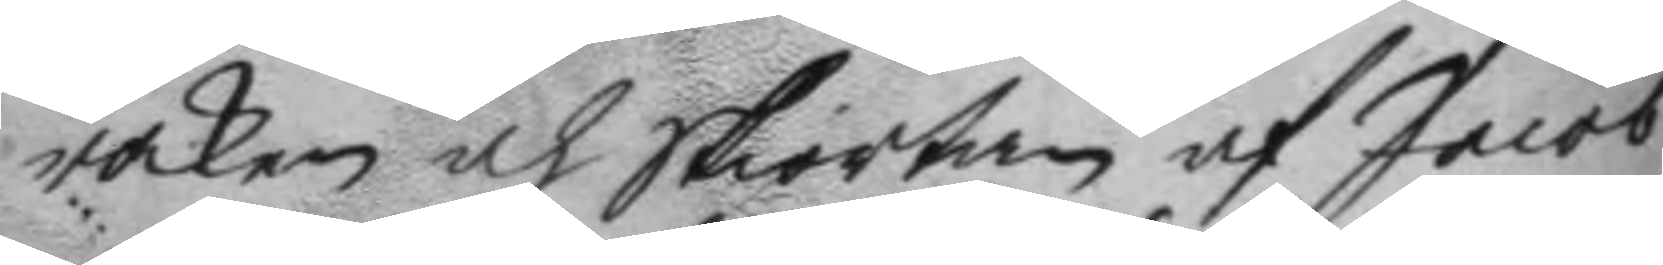roken och skiortan af Jacob
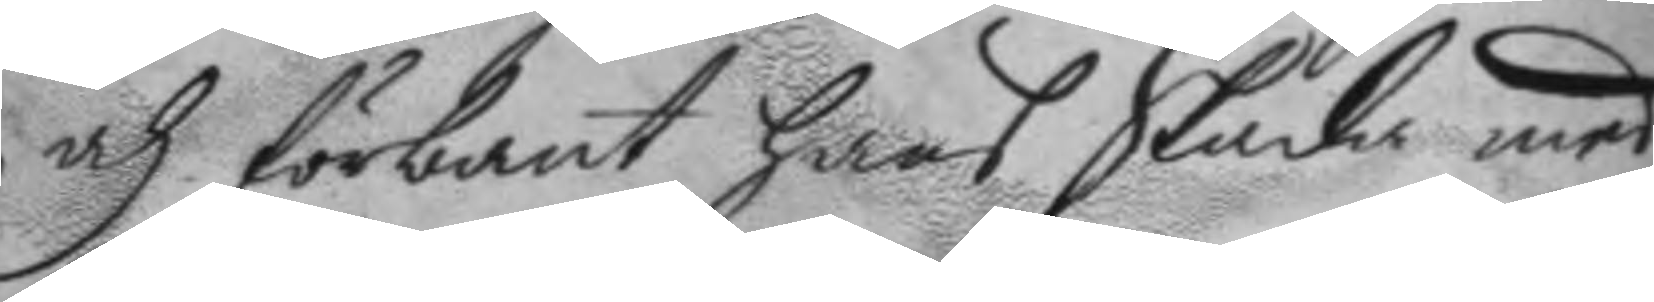och förbant hans Skada med
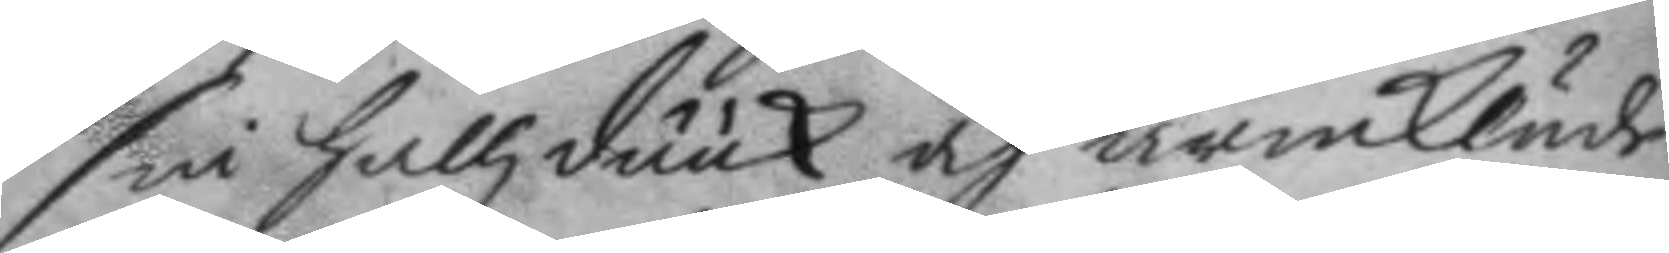sin hallzduuk och armkläde:
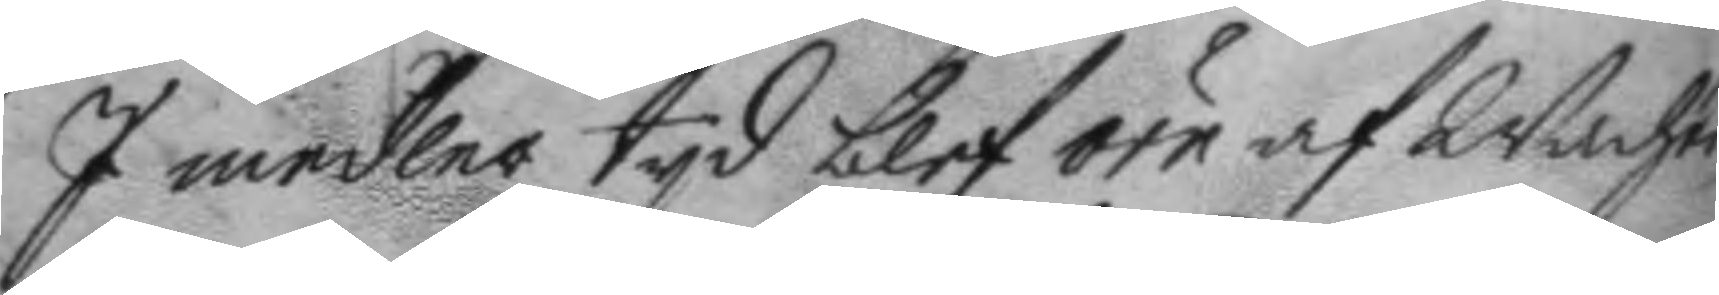I medler tyd blef örn af Wachten
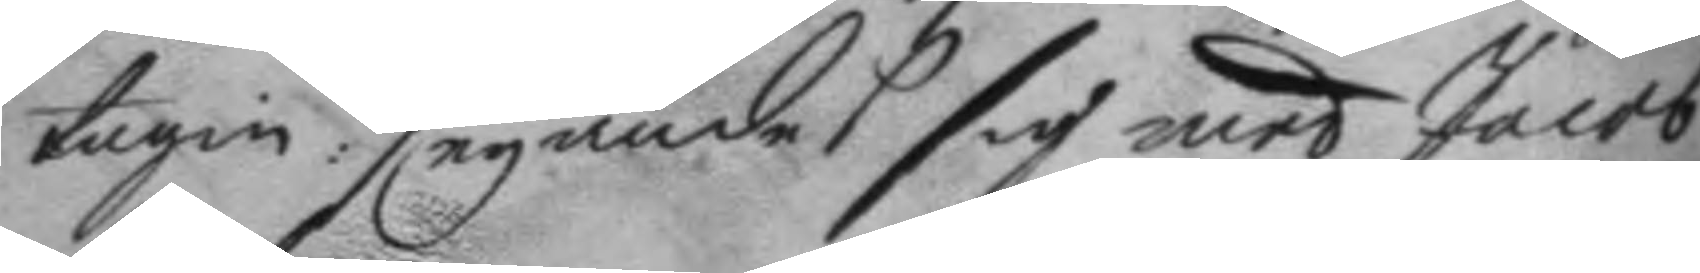tagin: seyandes sig med Jacob
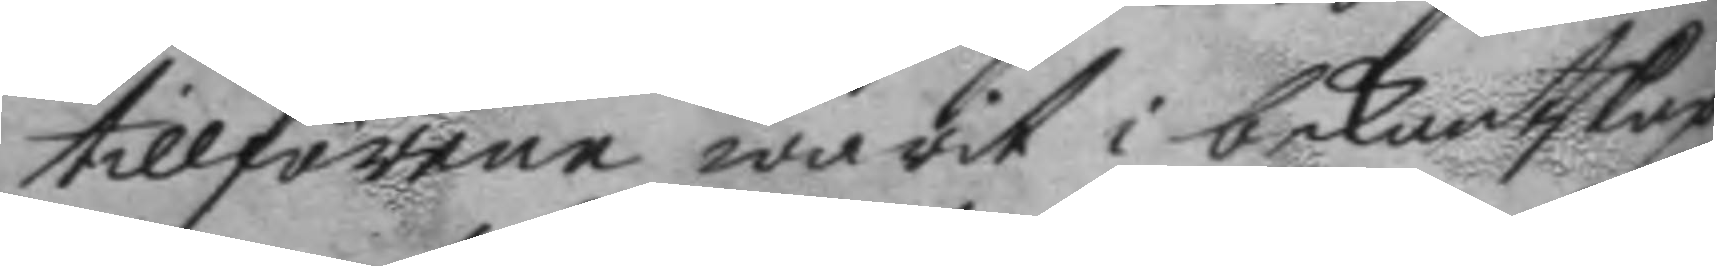tillförene warit i bekantskap
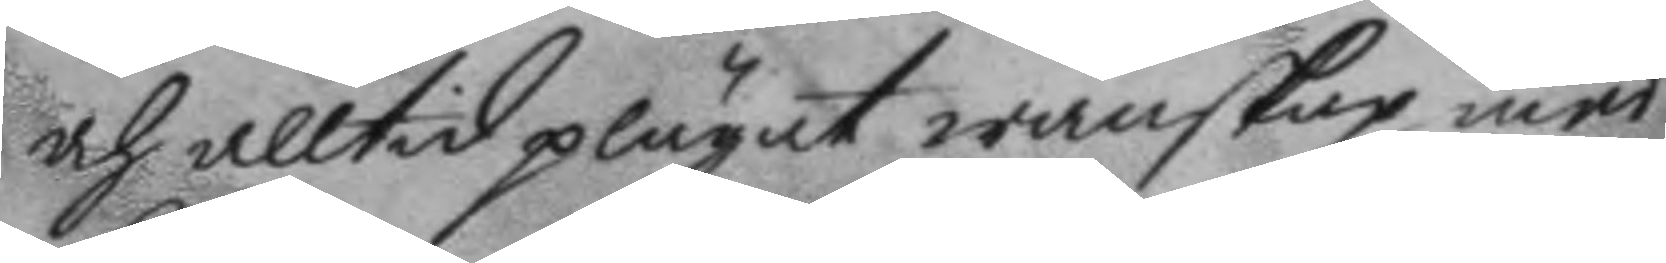och alltid plägat wänskap med
